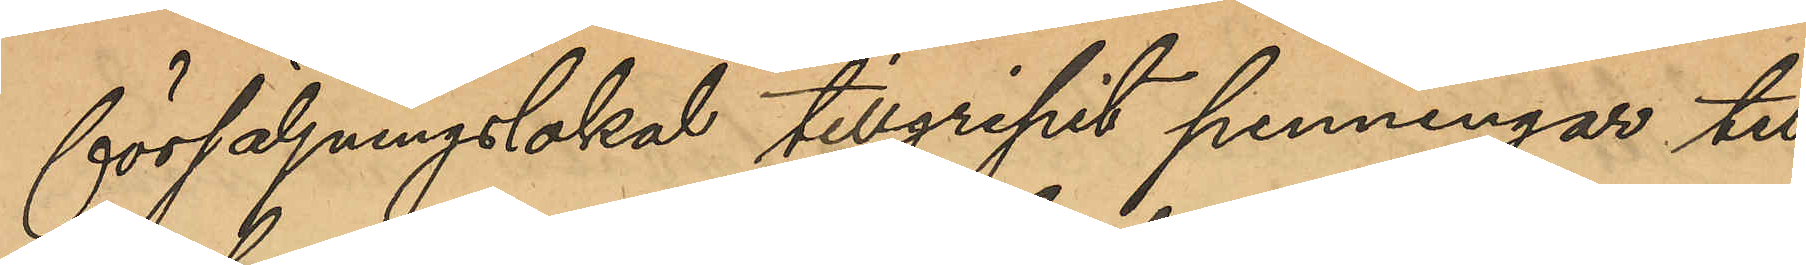försäljningslokal tillgripit penningar till
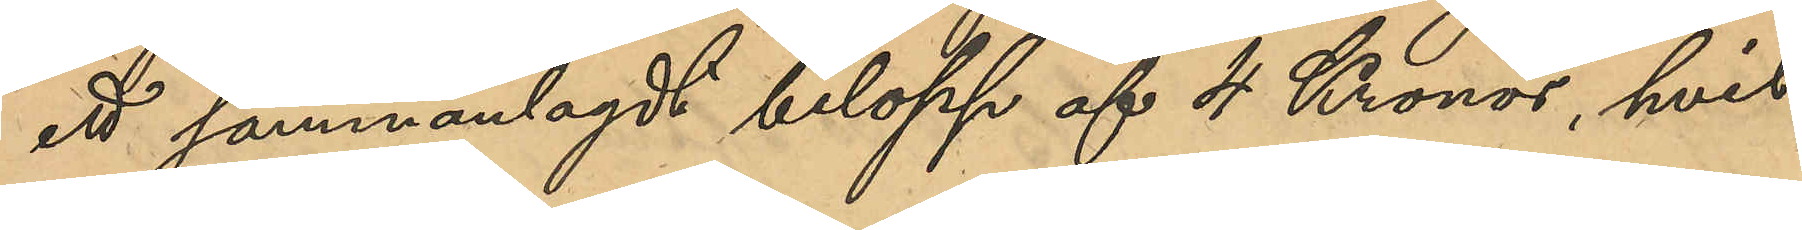ett sammanlagt belopp af 4 Kronor, hvil¬
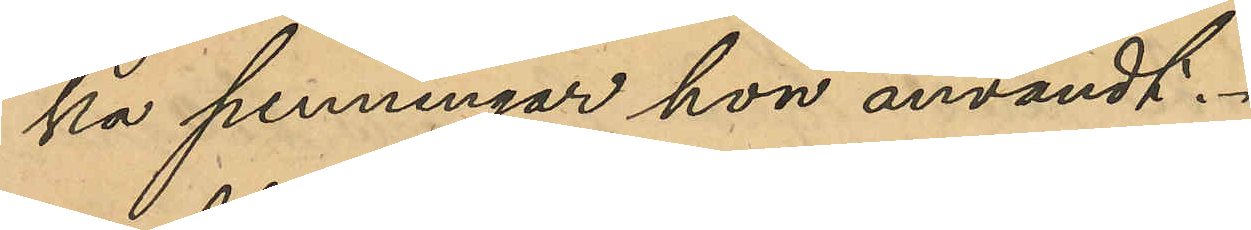ka penningar hon användt.
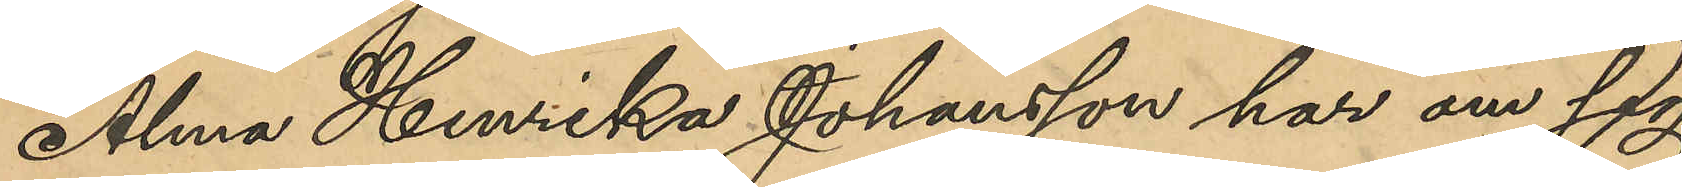Alma Henrika Johansson har om sig
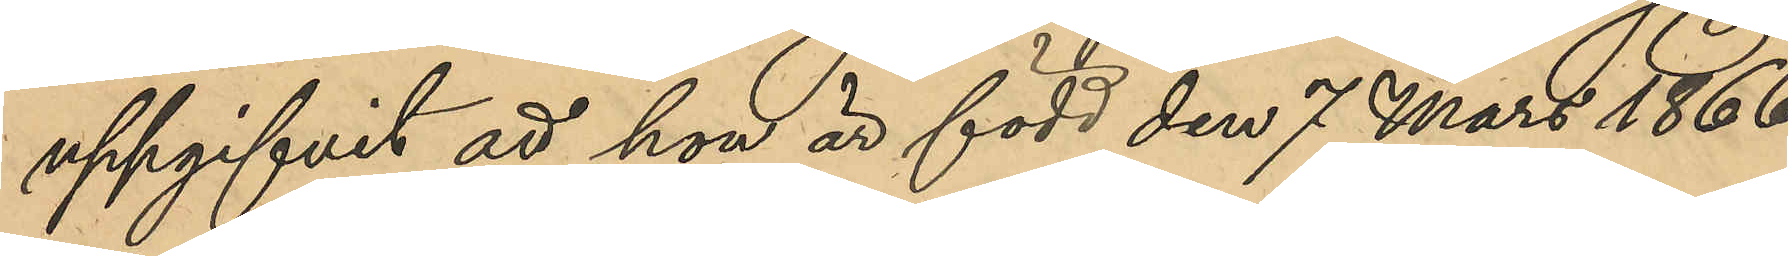uppgifvit att hon är född den 7 Mars 1866
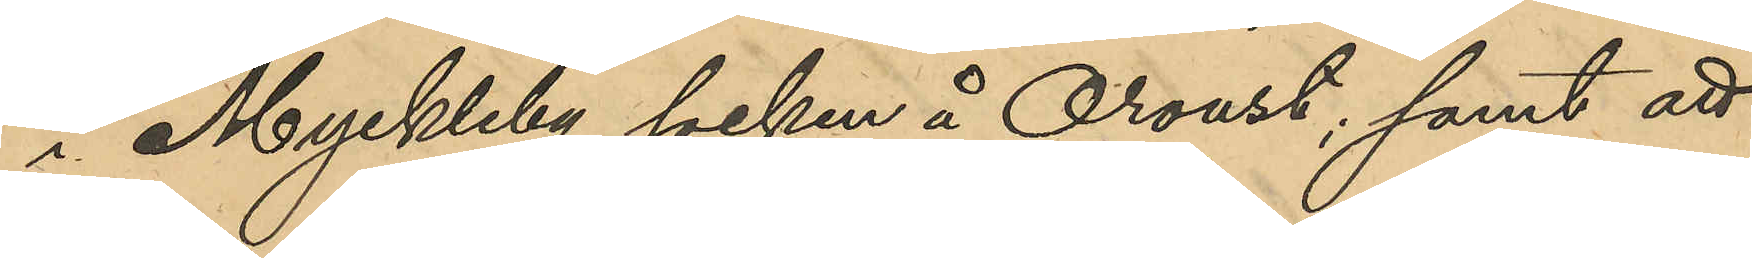i Myckleby socken å Oroust; samt att
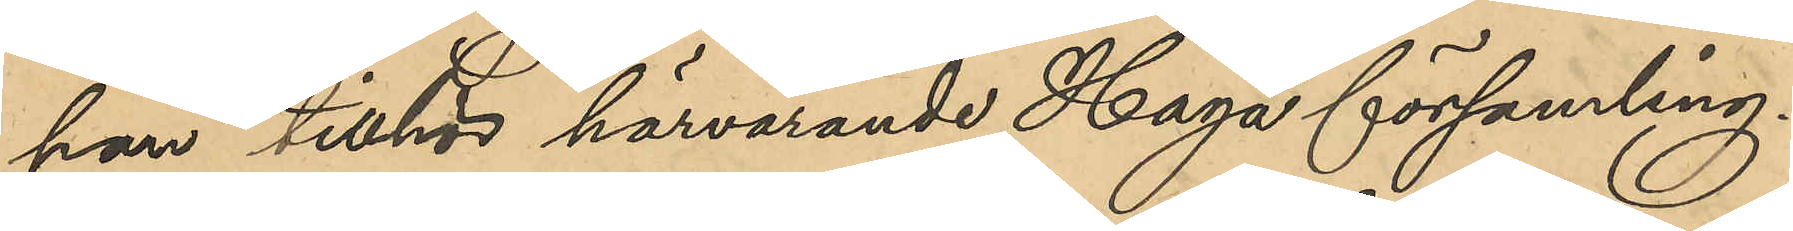hon tillhör härvarande Haga församling.
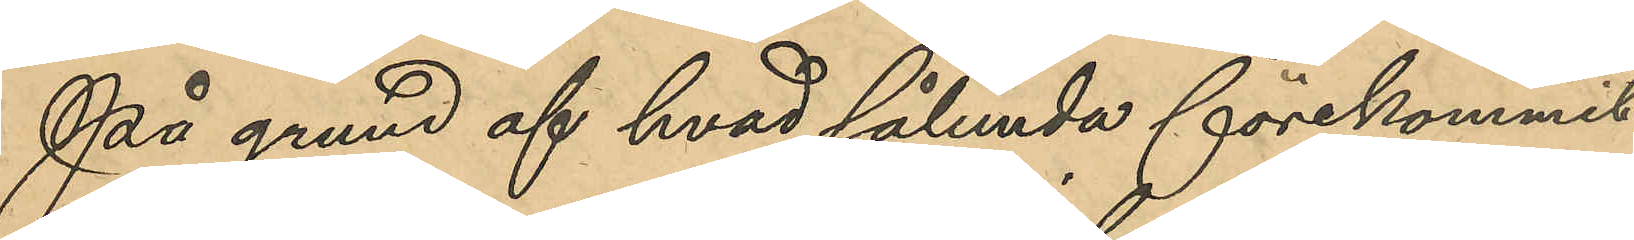På grund af hvad sålunda förekommit
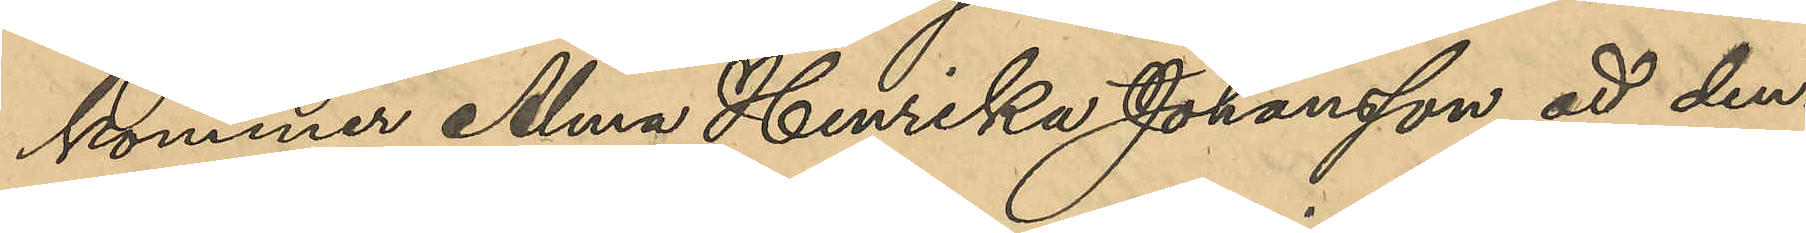kommer Alma Henrika Johansson att den¬
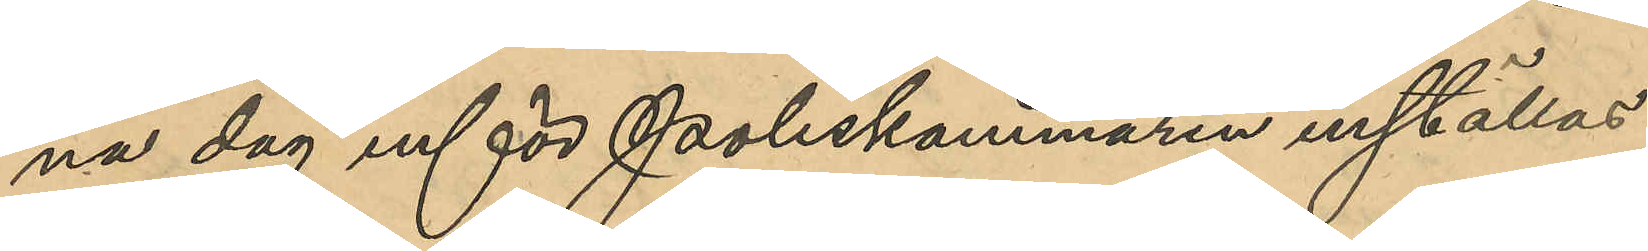na dag inför Poliskammaren inställas.
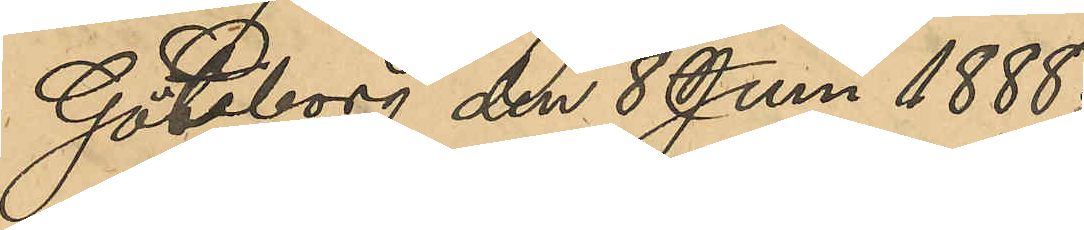Göteborg den 8 Juni 1888.
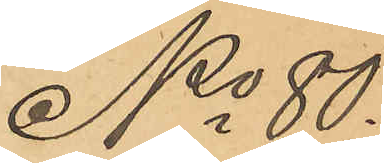No 80.
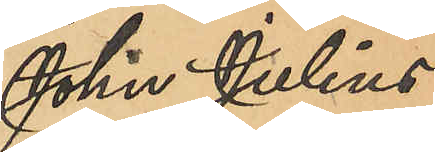John Julius
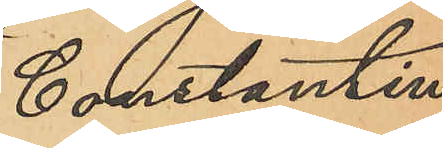Constantin
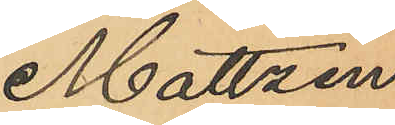Mattzen.
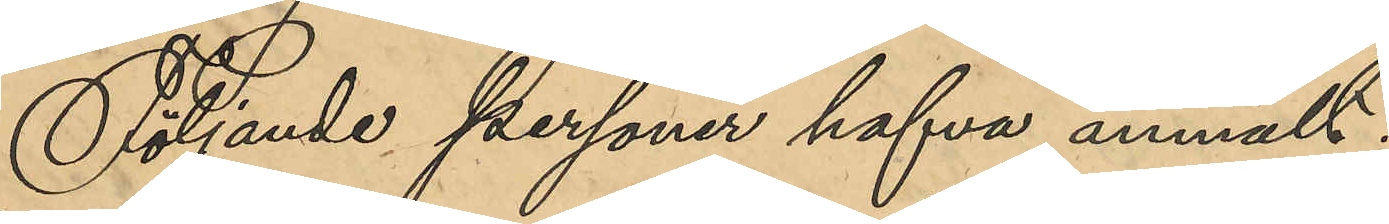Följande personer hafva anmält:
